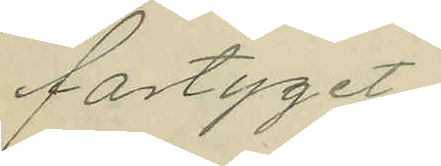fartyget.
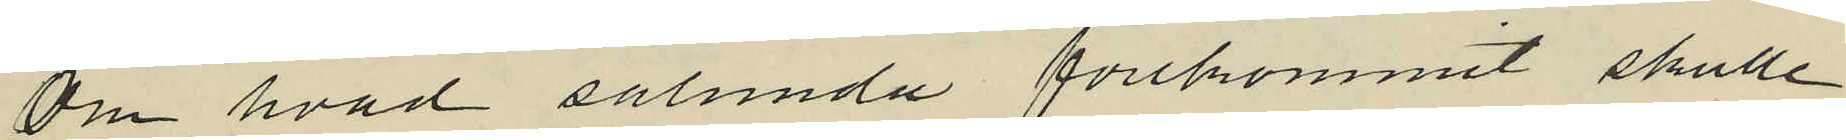Om hvad sålunda förekommit skulle
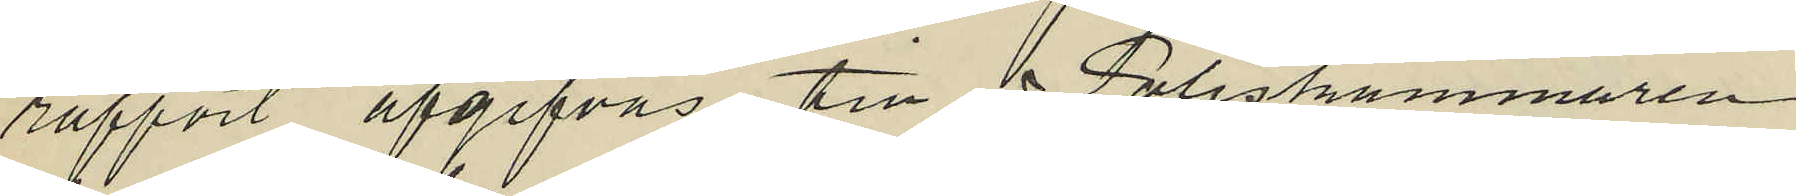rapport afgifvas till Poliskammaren
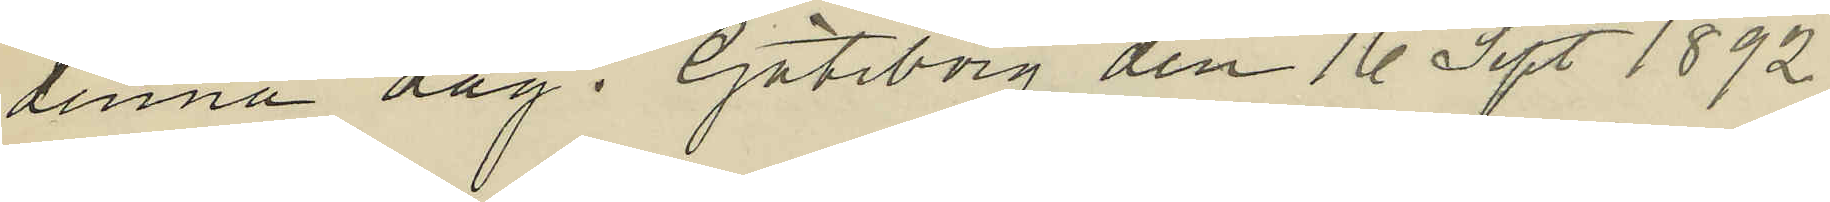denna dag. Göteborg den 16 Sept 1892.
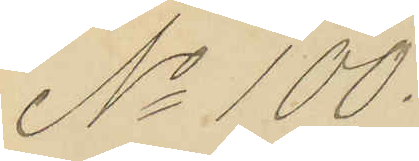No 100.
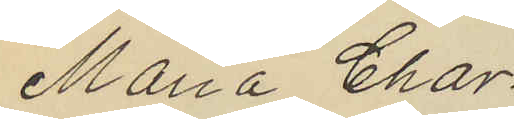Maria Char¬
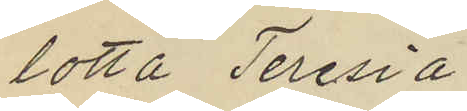lotta Teresia
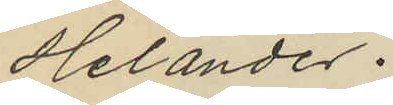Helander.
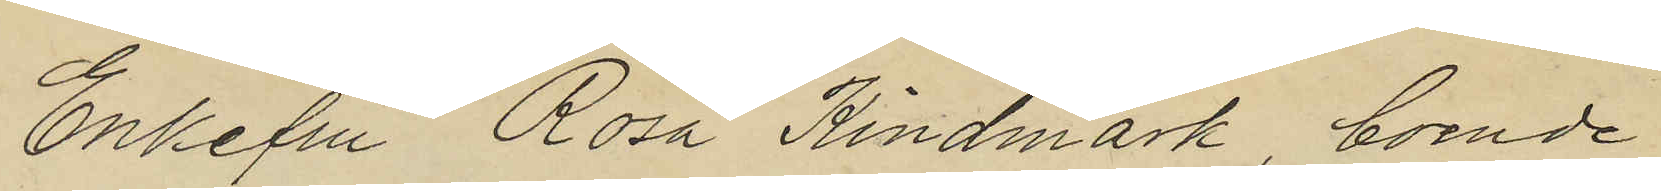Enkefru Rosa Kindmark, boende
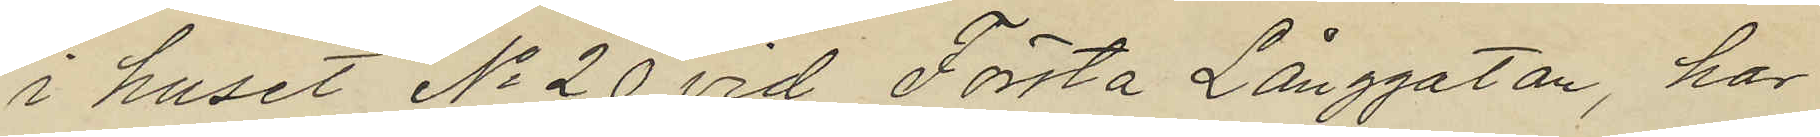i huset No 20 vid Första Långgatan, har
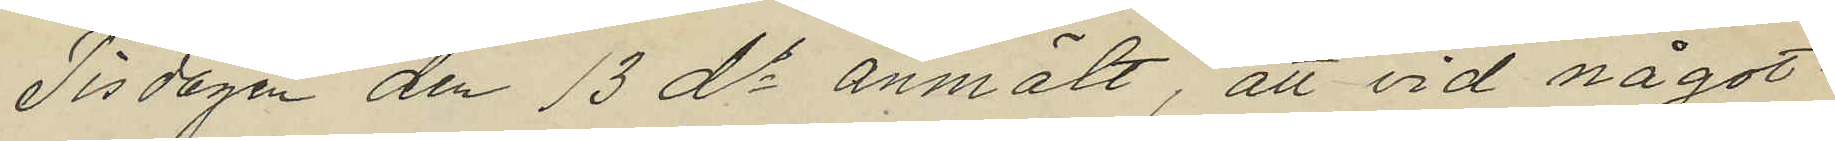Tisdagen den 13 ds anmält, att vid något
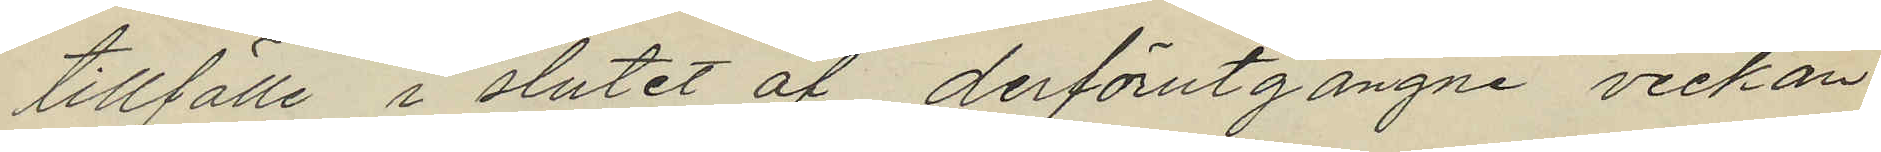tillfälle i slutet af derförutgångne veckan
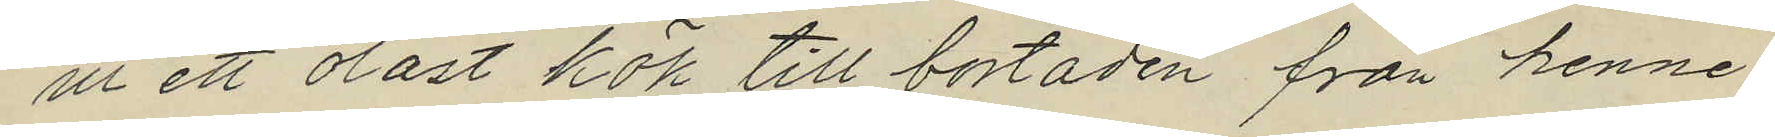ur ett olåst kök till bostaden från henne
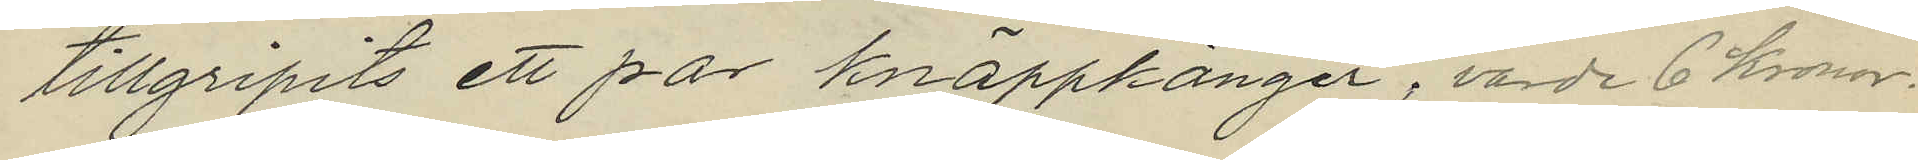tillgripits ett par knäppkänger, värde 6 Kronor.
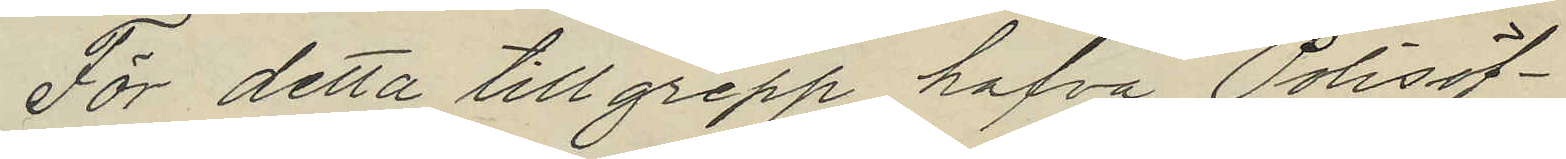För detta tillgrepp hafva Polisöf¬
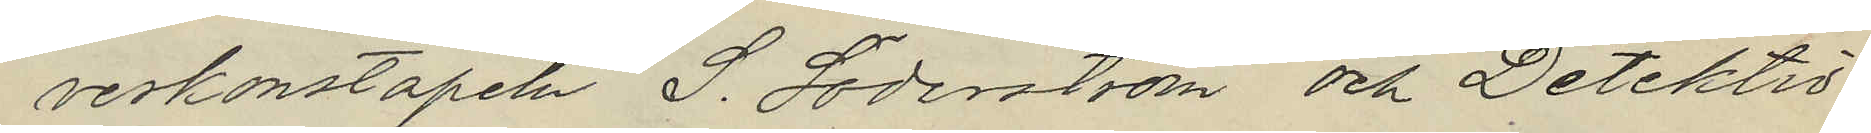verkonstapeln S. Söderström och Detektiv¬
